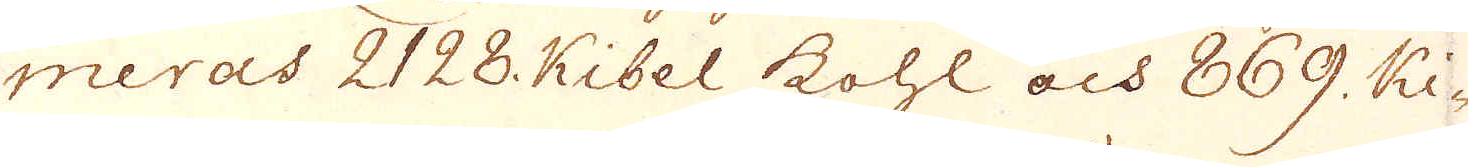meras 2128. Kibel kohl och 869. Ki-
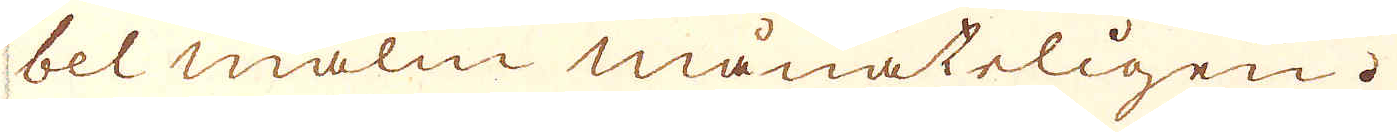bel malm månateligen.
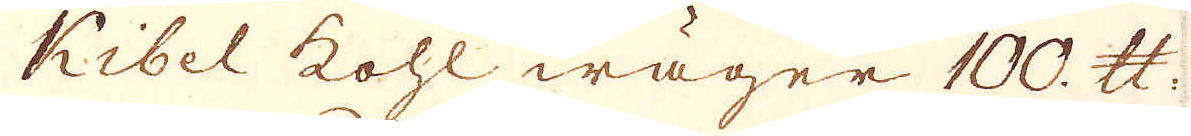Kibel kohl wäger 100. skålpund.
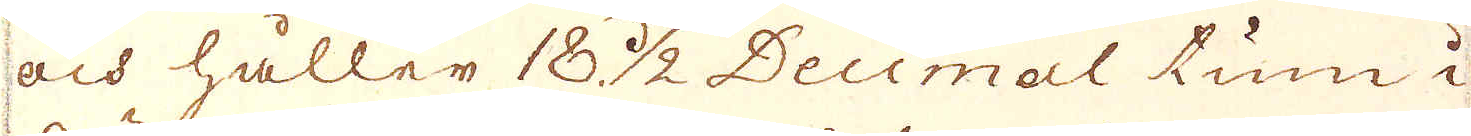och håller 18 1/2 Decimal tum i
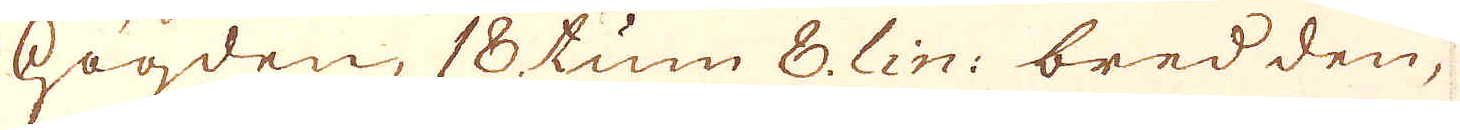högden, 18 tum 8. lin: bredden,
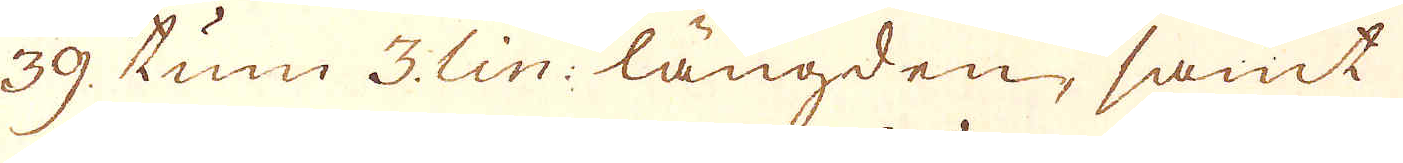39. tum 3. lin: längden, samt
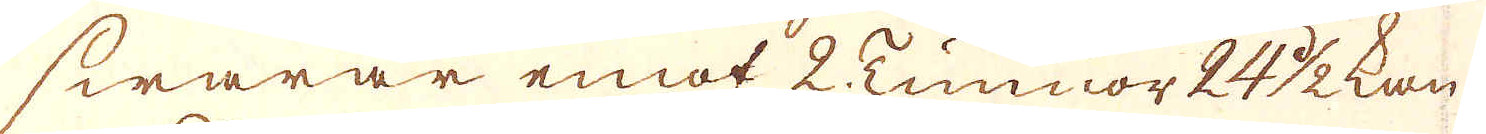swarar emot 2 Tunnor 24 1/2 kan-
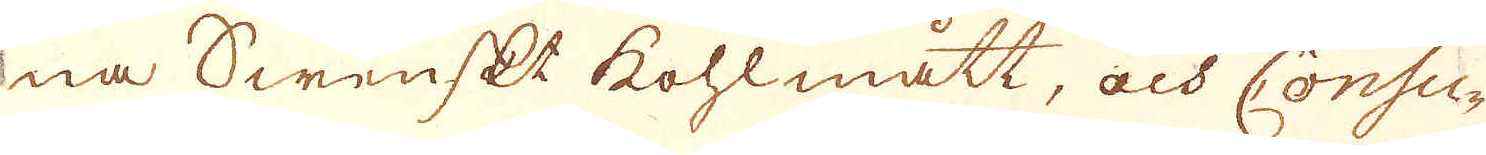na Swenskt kohlmått, och Consu-
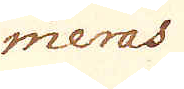meras
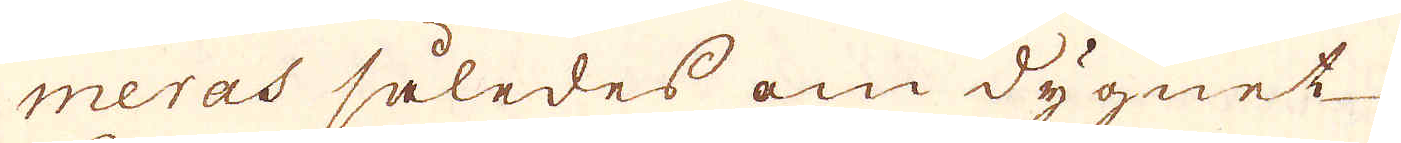meras således om dygnet
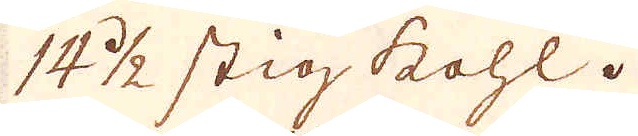14 1/2 sig kohl.
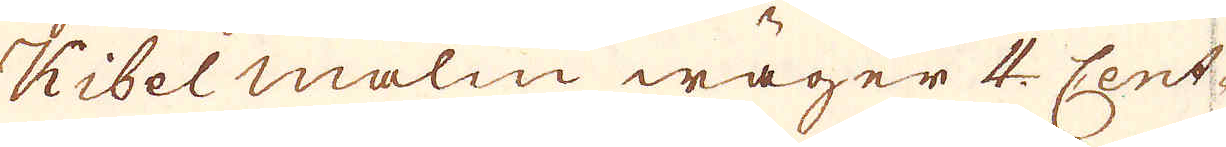Kibelmalm wäger 4. Cent-
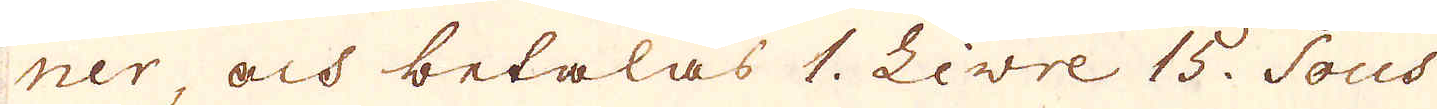ner och betalas 1. Livre 15. Sous
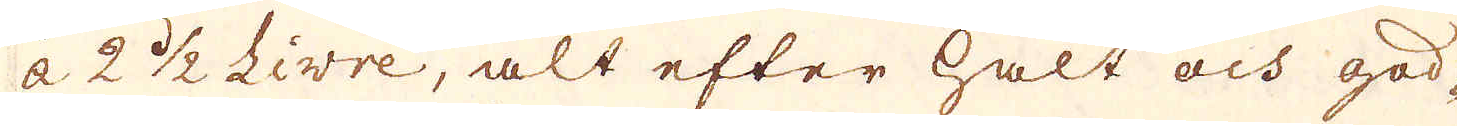à 2 1/2 Livre, alt efter halt och god-
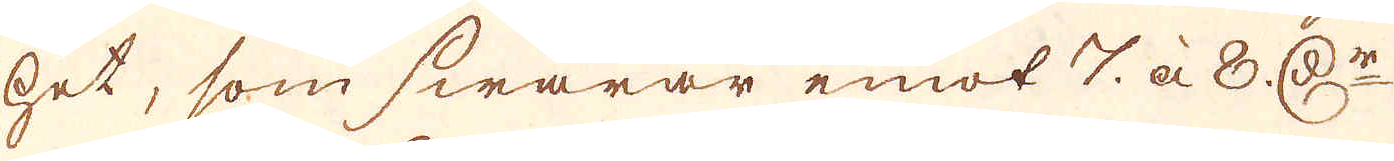het, som swarar emot 7. à 8. D:r
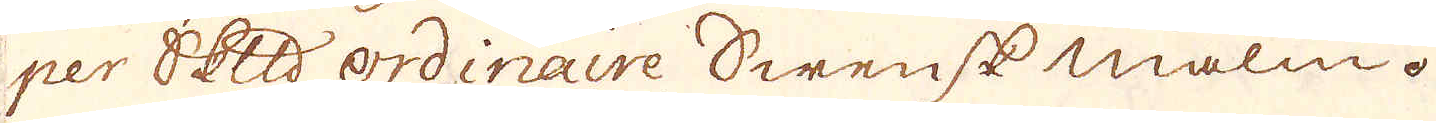per Skeppund ordinare Swensk malm.
